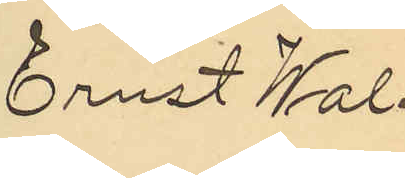Ernst Wal¬
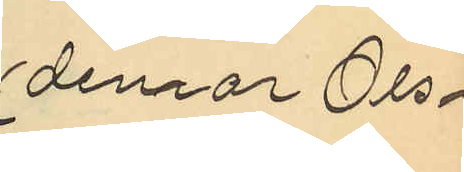demar Ols¬
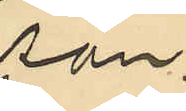son.
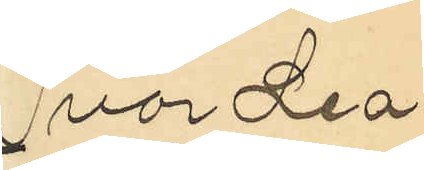Ivar Leo¬
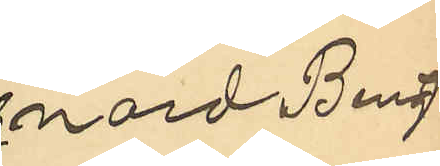nard Bengt¬
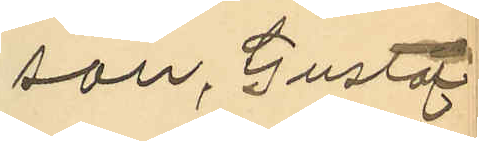son, Gustaf
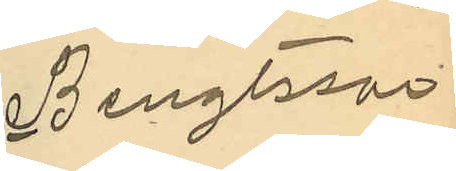Bengtsson
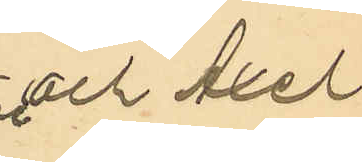och Axel
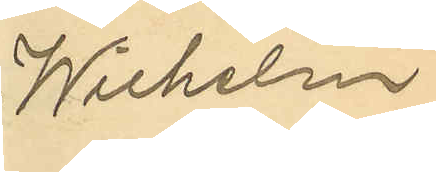Wilhelm
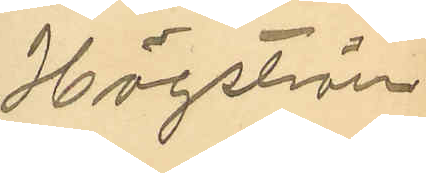Högström
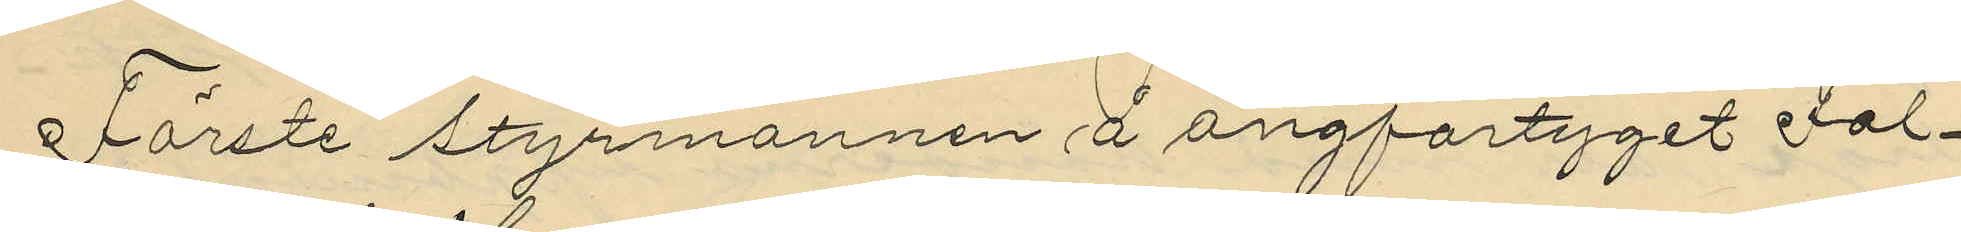Förste styrmannen å ångfartyget "Fal¬
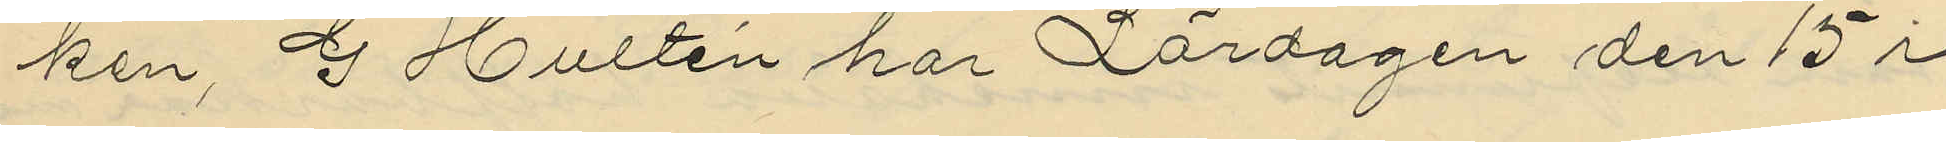ken", G Hultén har Lördagen den 15 i
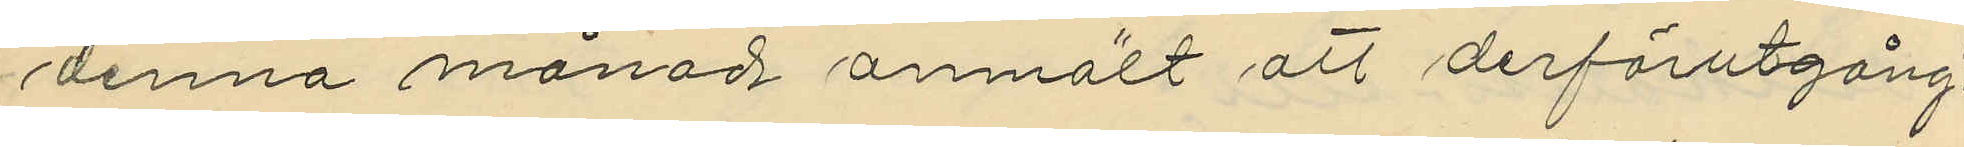denna månad anmält att derförutgång¬
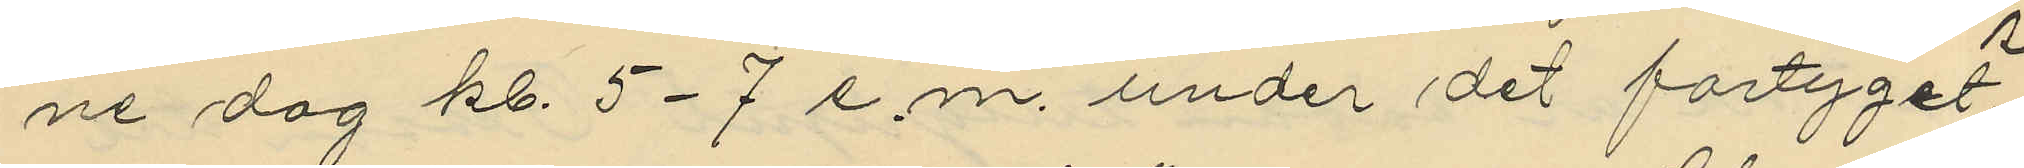ne dag kl. 5-7 e.m. under det fartyget
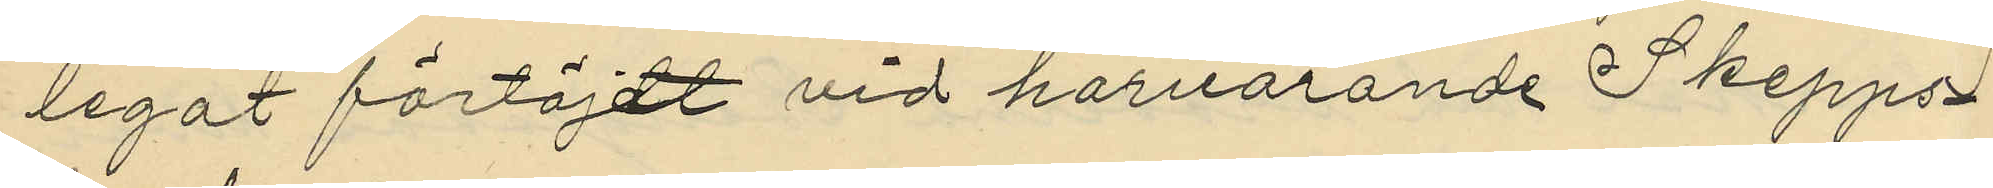legat förtöjdt vid härvarande Skepps¬
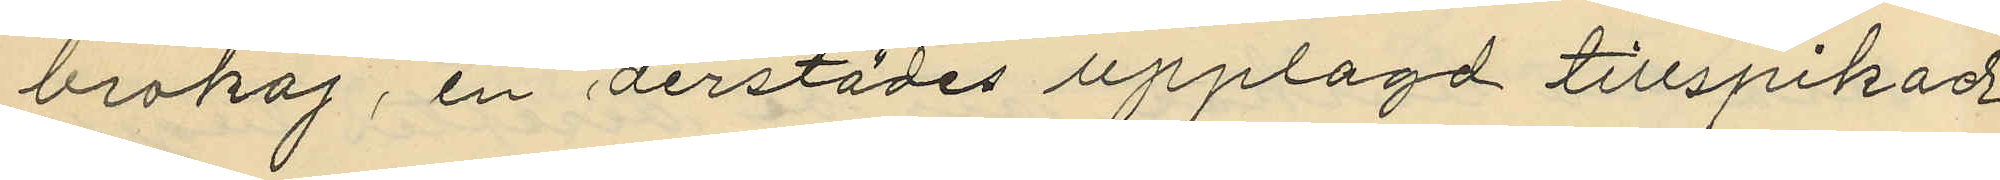brokaj, en derstädes upplagd tillspikad
